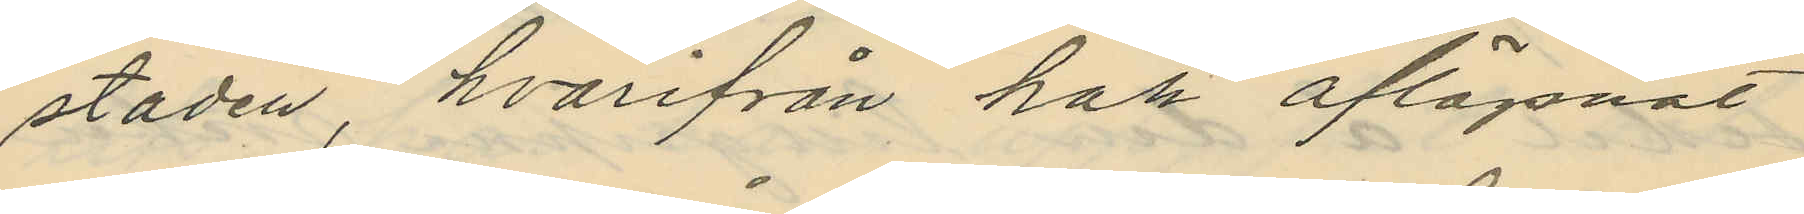staden, hvarifrån han aflägsnat
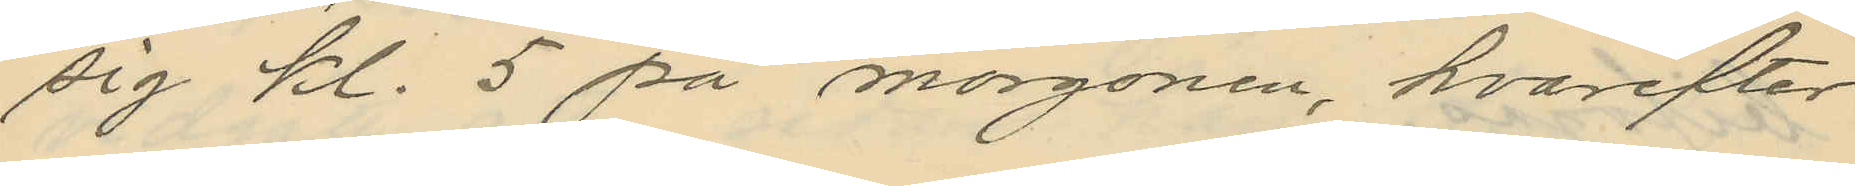sig kl. 5 på morgonen, hvarefter
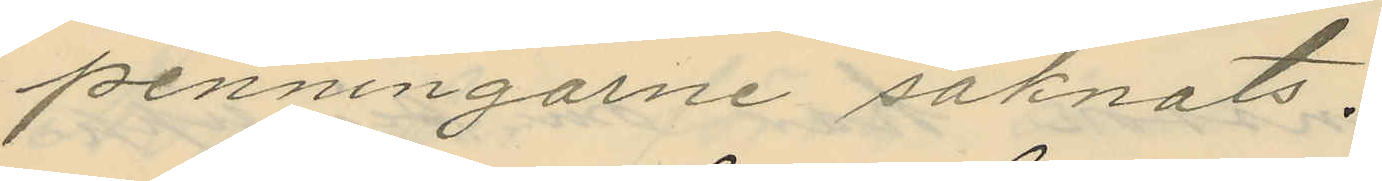penningarne saknats.
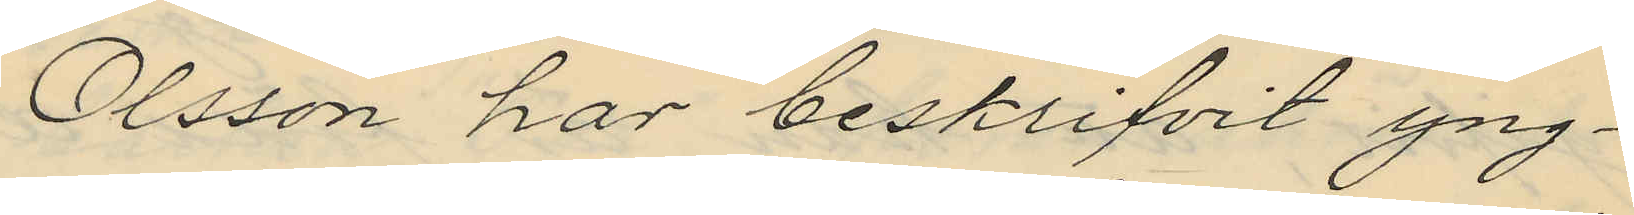Olsson har beskrifvit yng¬
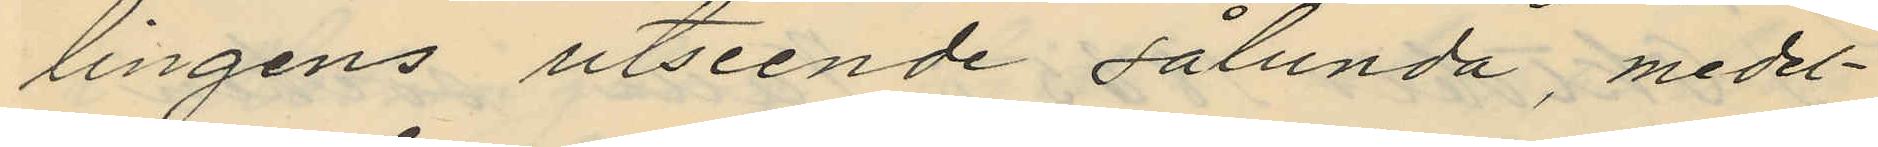lingens utseende sålunda, medel¬
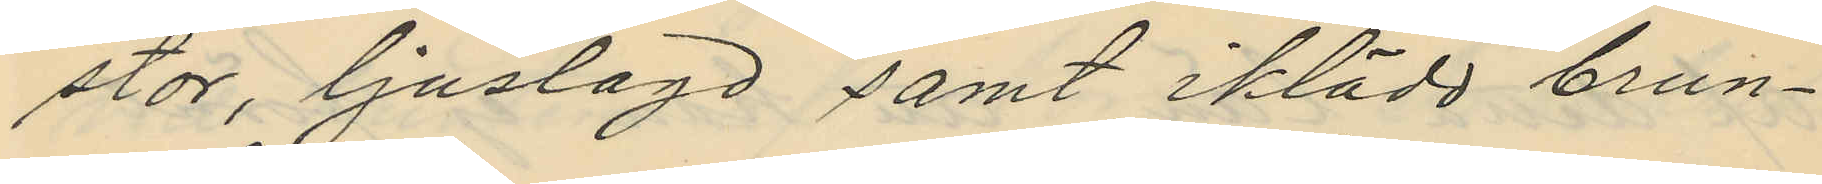stor, ljuslagd samt iklädd brun¬
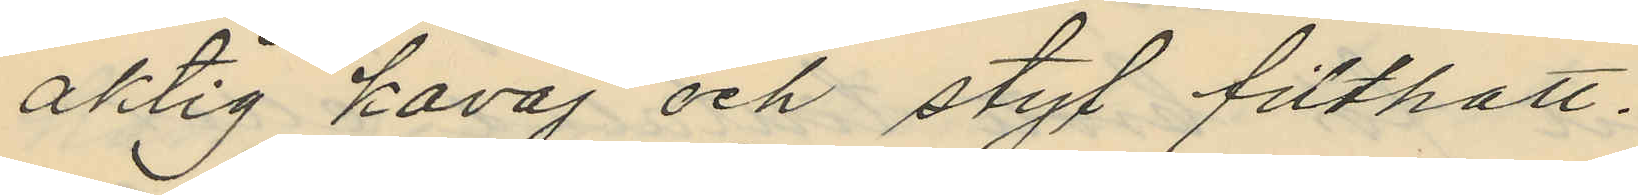aktig kavaj och styf filthatt.
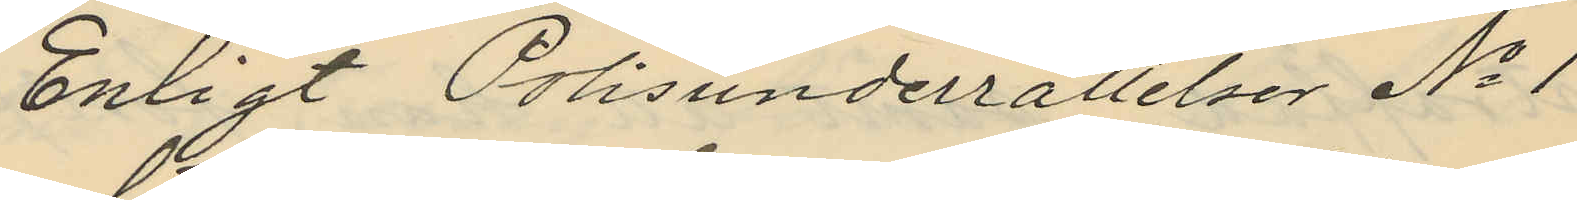Enligt Polisunderrättelser No 1
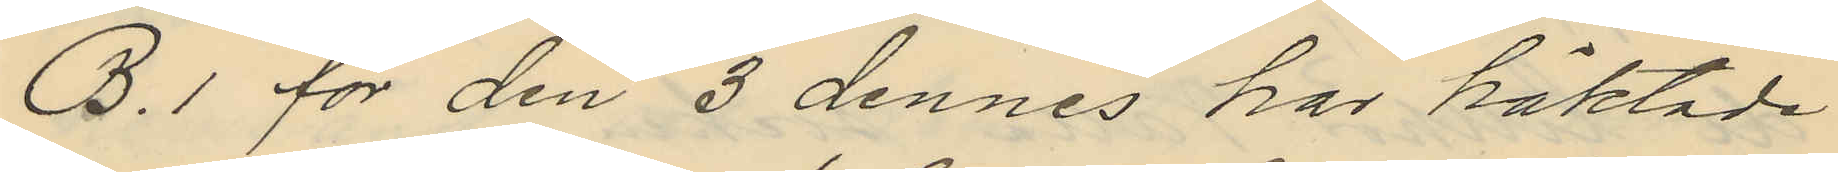B. 1 för den 3 dennes har häktade
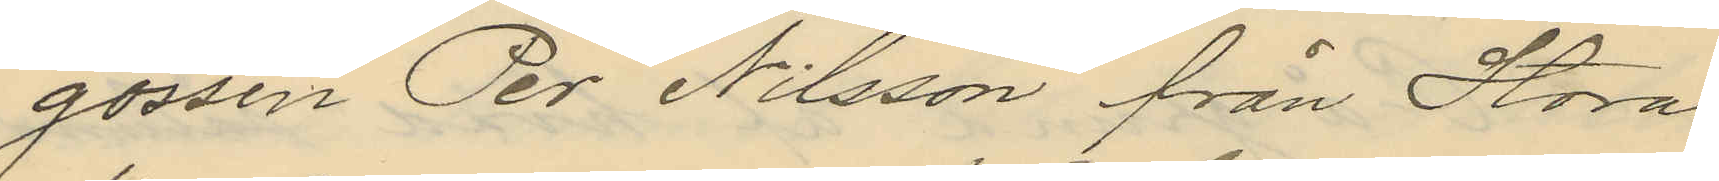gossen Per Nilsson från Stora
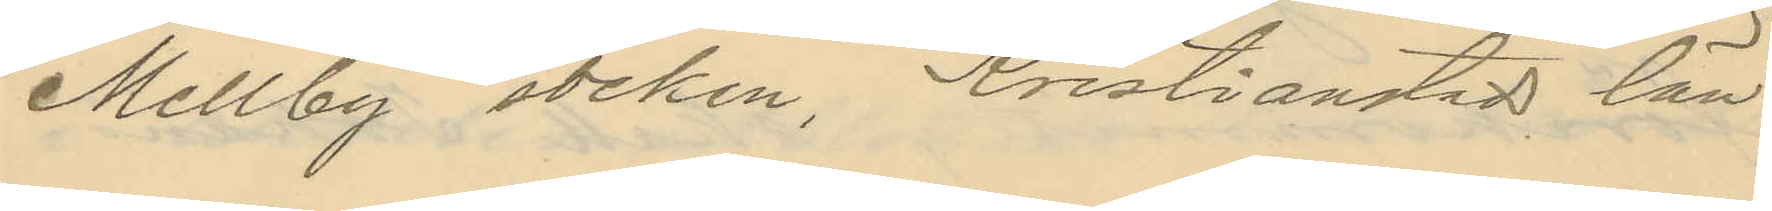Mellby socken, Kristianstad län
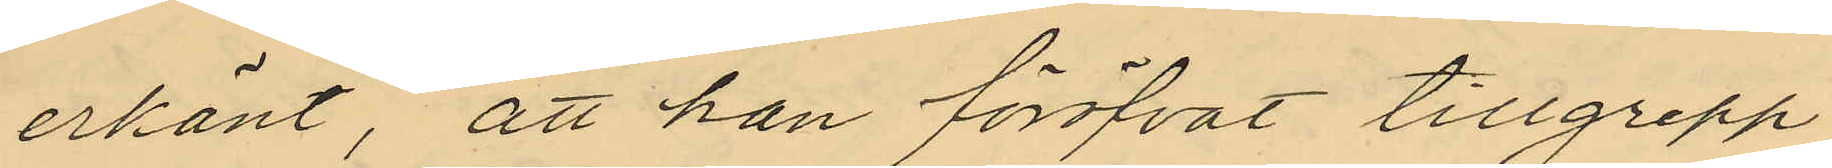erkänt, att han föröfvat tillgrepp
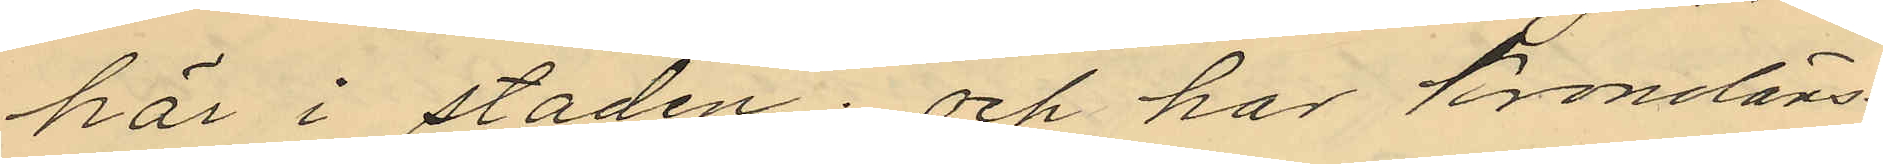här i staden; och hos Kronoläns¬
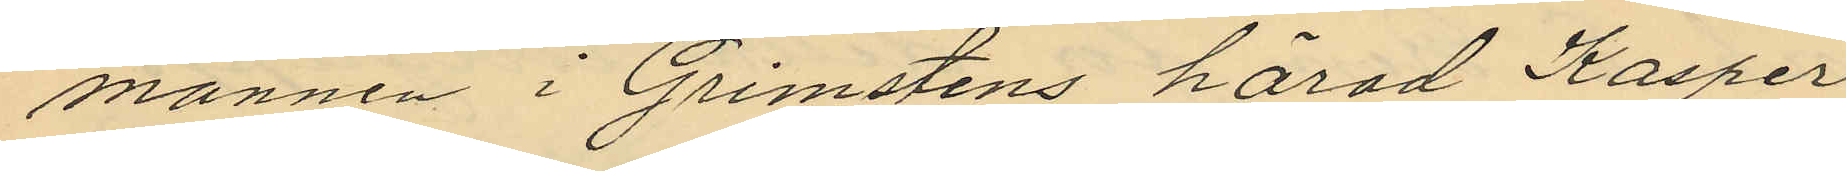mannen i Grimstens härad Kasper
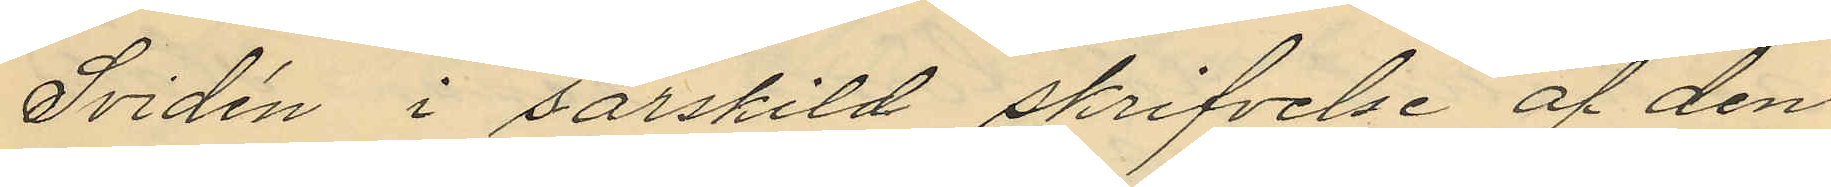Svidén i särskild skrifvelse af den
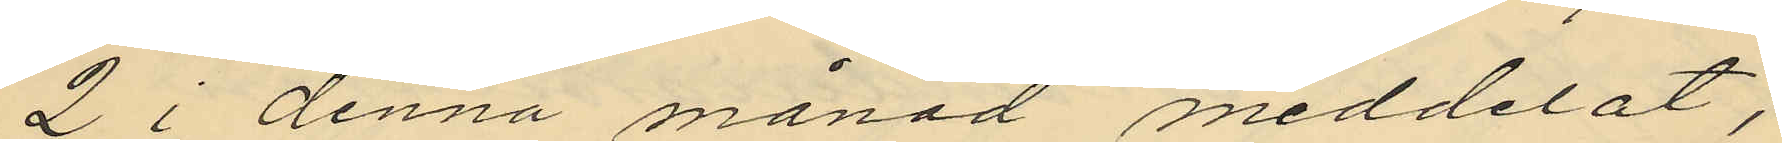2 i denna månad meddelat,
